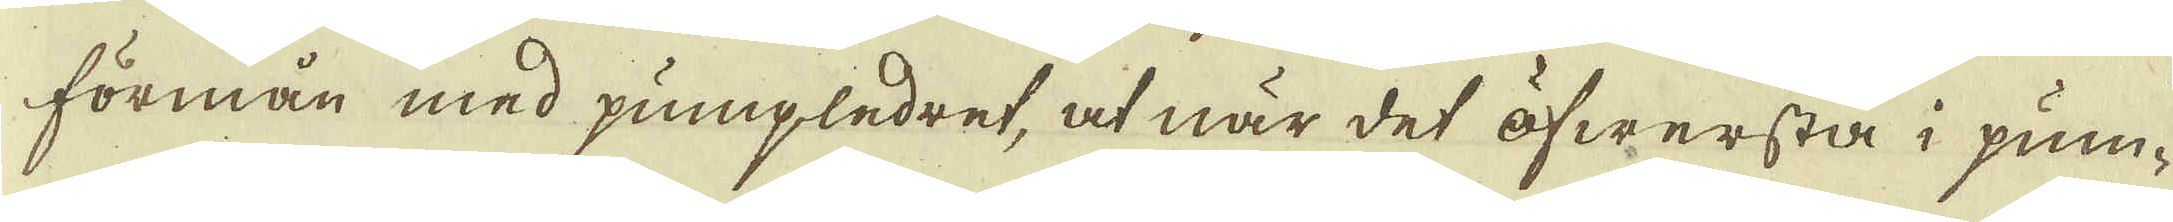förmån med pumpledret, at när det öfwersta i pum-
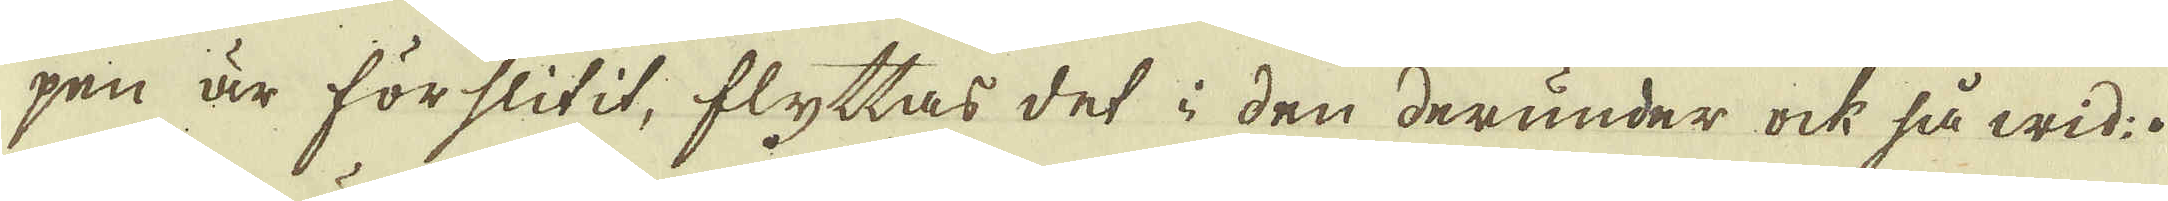pen är förslitit, flyttas det i den derunder ock så wid.
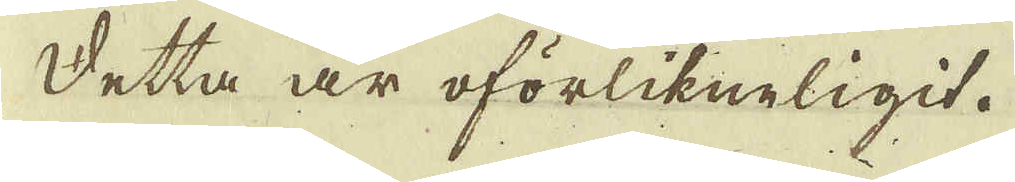Detta är oförlikneligit.
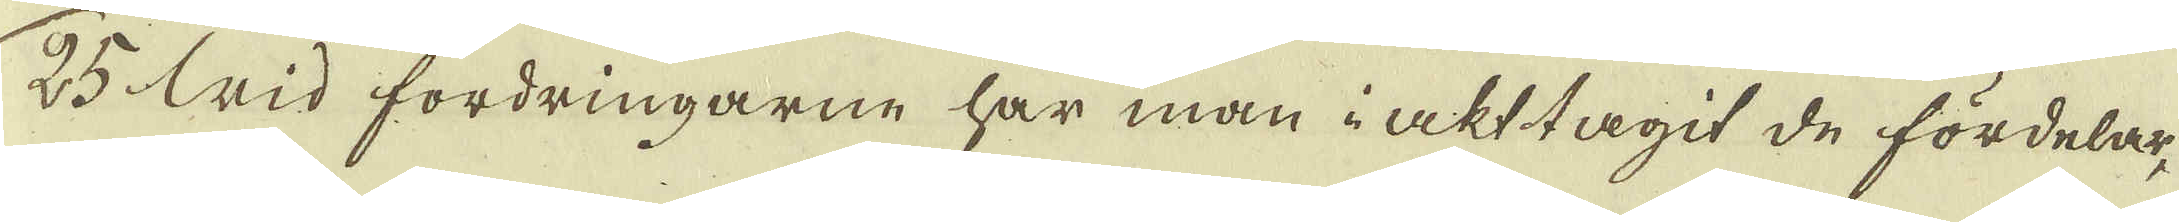25 Wid fordringarne har man i akt tagit de fördelar,
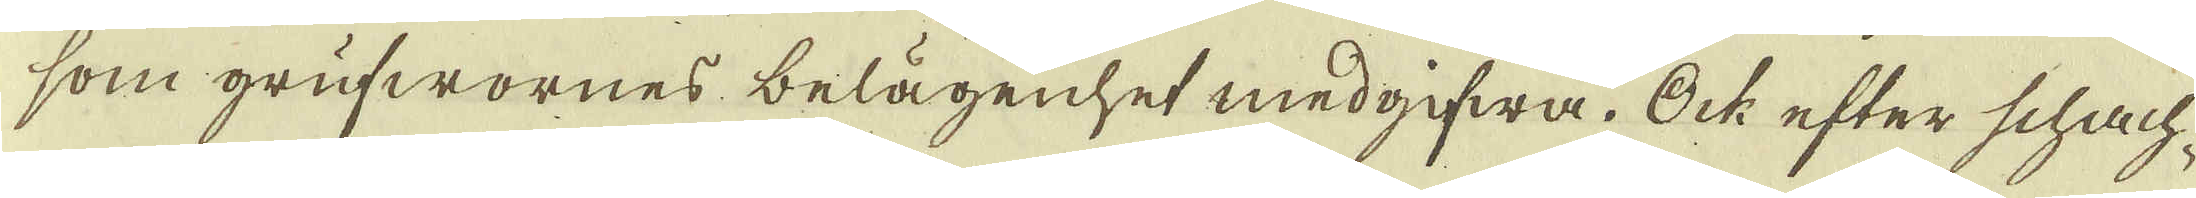som grufwornes belägenhet medgifwa. Ock efter schach-
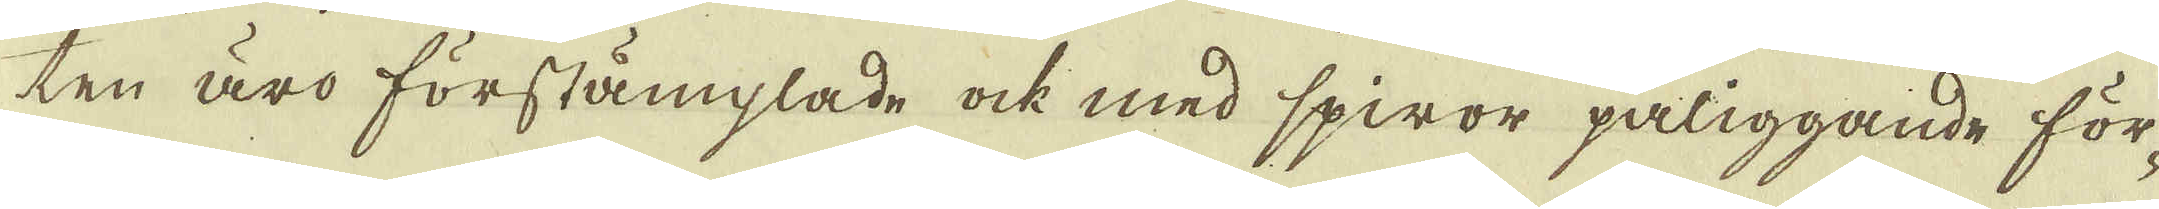ten äro förstämplade ock med spiror påliggande för-
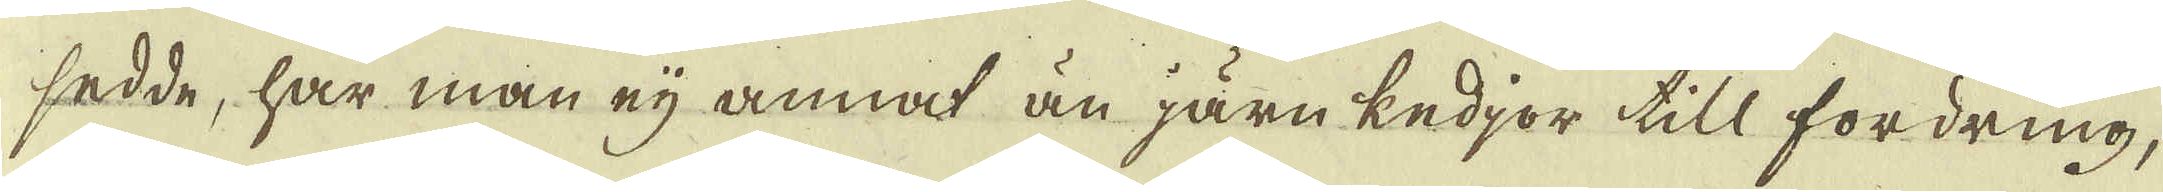sedde, har man eij annat än järn kedjor till fordring,
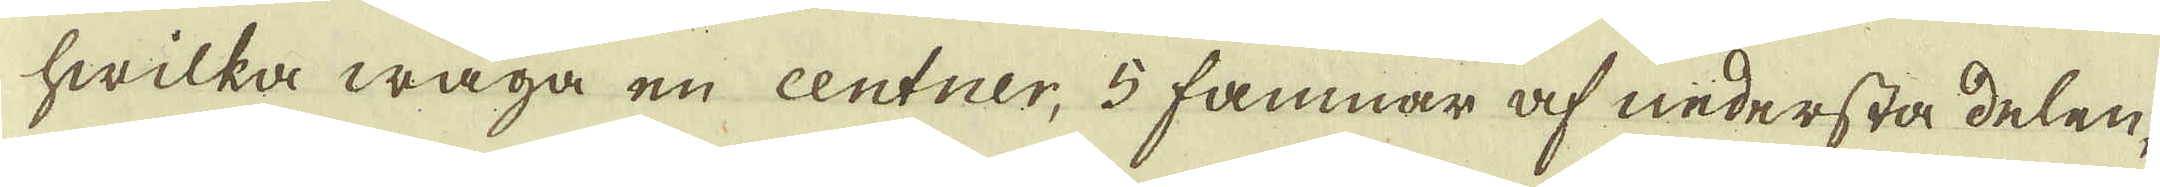hwilka wäga en centner, 5 famnar af nedersta delen.
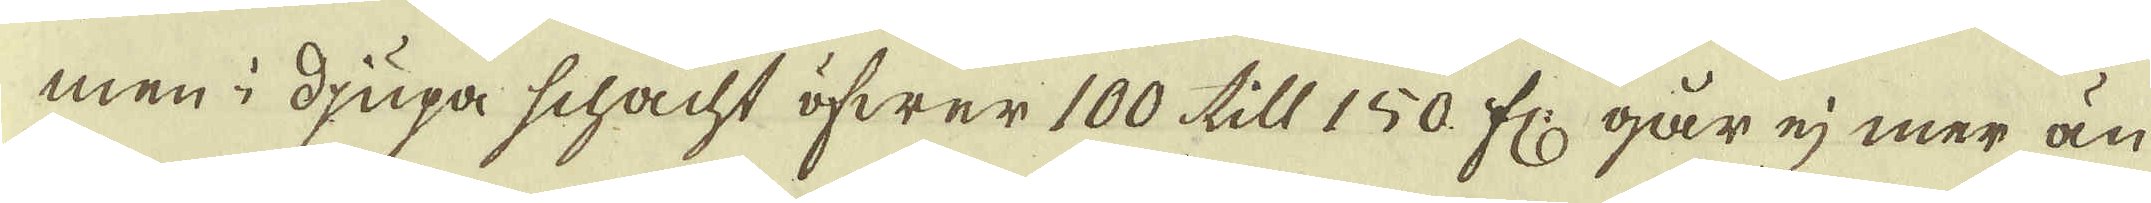men i djupa schacht öfwer 100 till 150 fr: går ej mer än
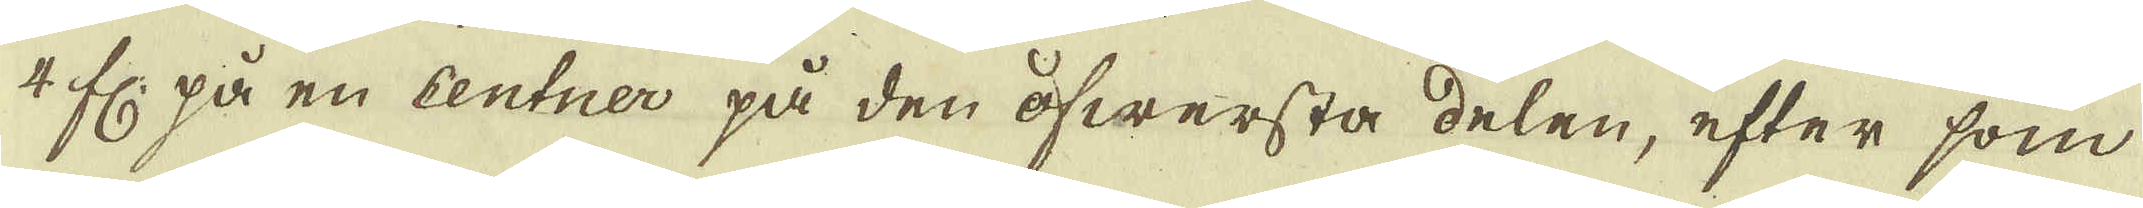4 fr: på en centner på den öfwersta delen, efter som
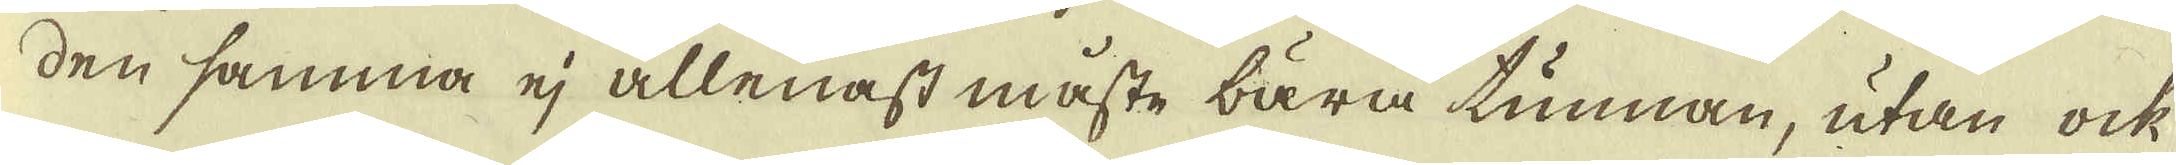den samma ej allenast måste bära tunnan, utan ock
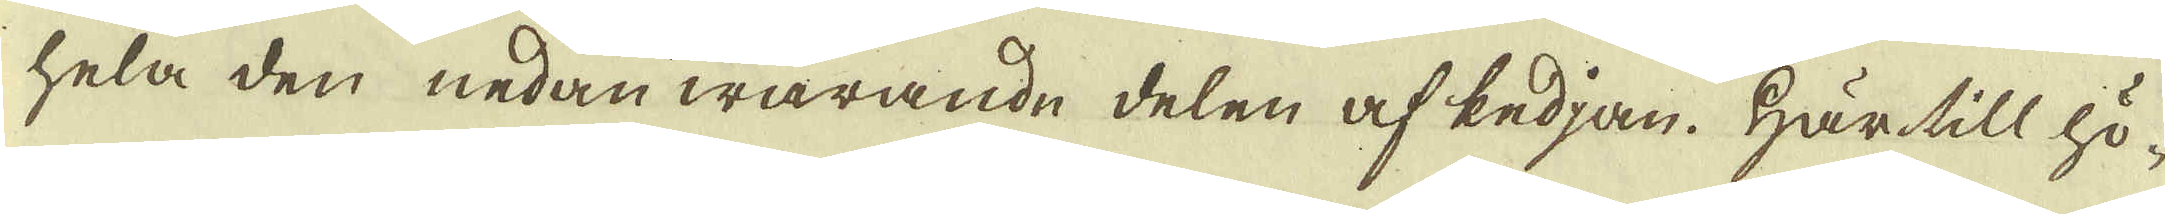hela den nedan warande delen af kedjan. Härtill hö-
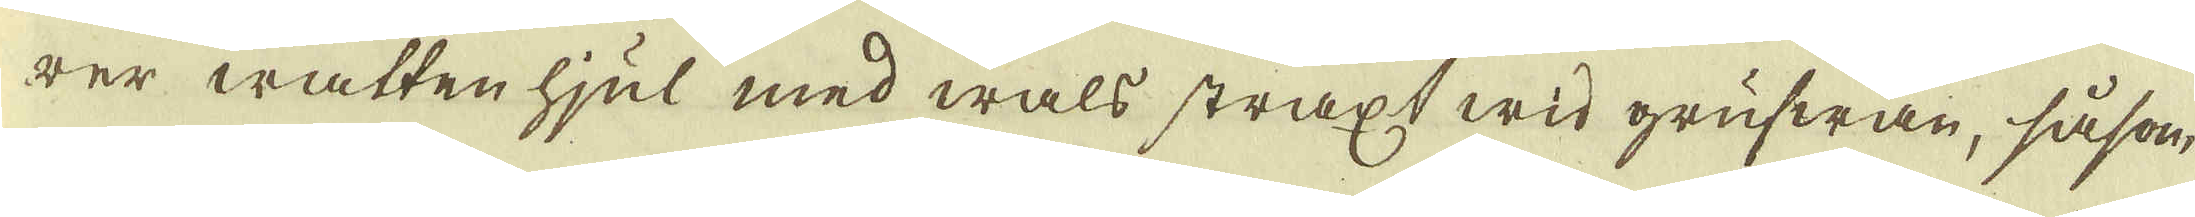rer watten hjul med wals straxt wid grufwan, såsom,
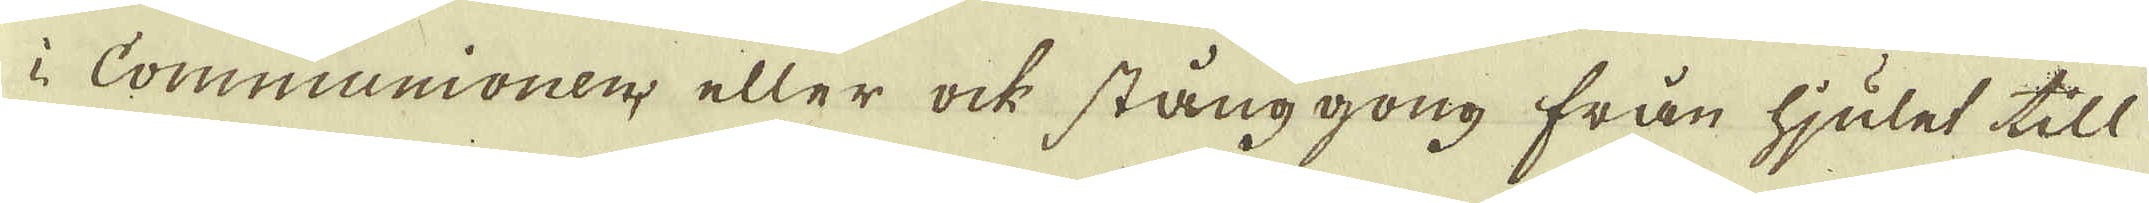Communionen, eller ock stänggong från hjulet till
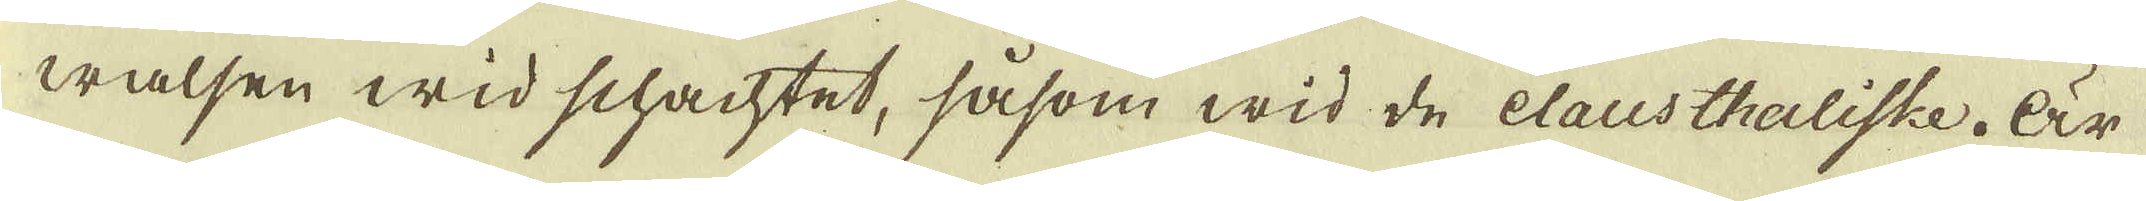walsen wid schachtet, såsom wid de Clausthaliske. Är
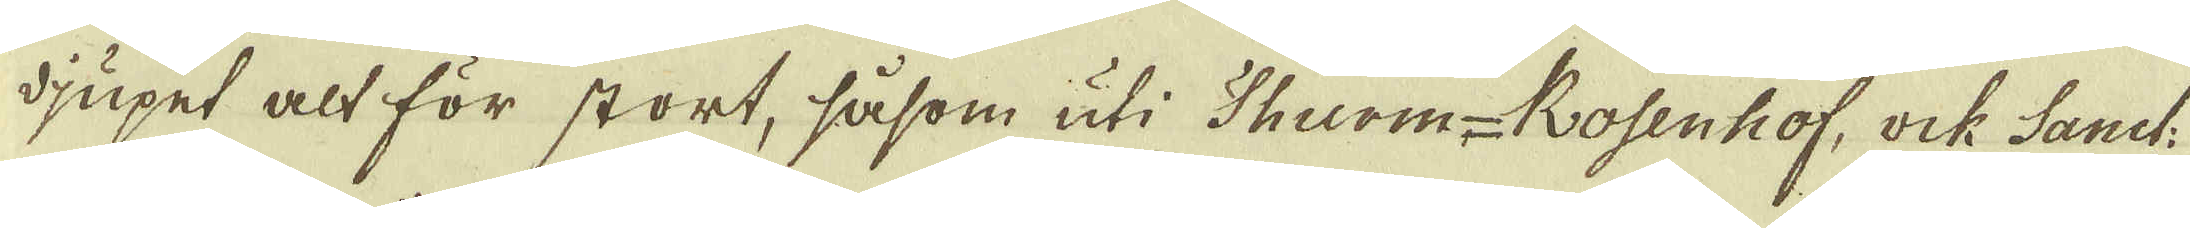djupet alt för stort, såsom uti Thurm-Rosenhof, ock Sanct
